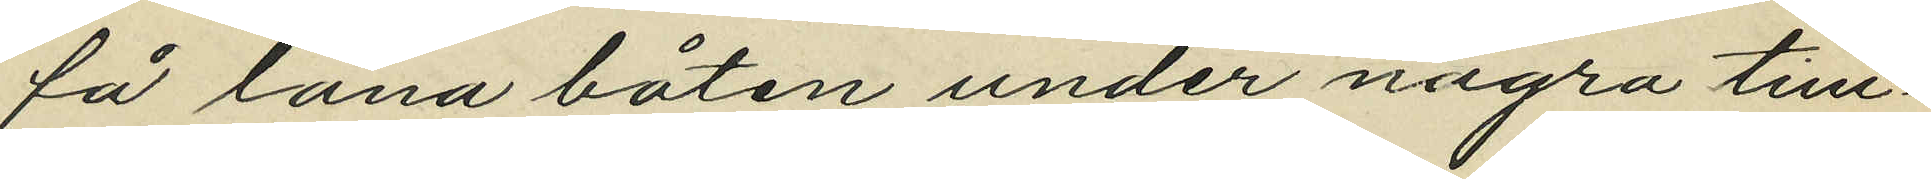få låna båten under några tim¬
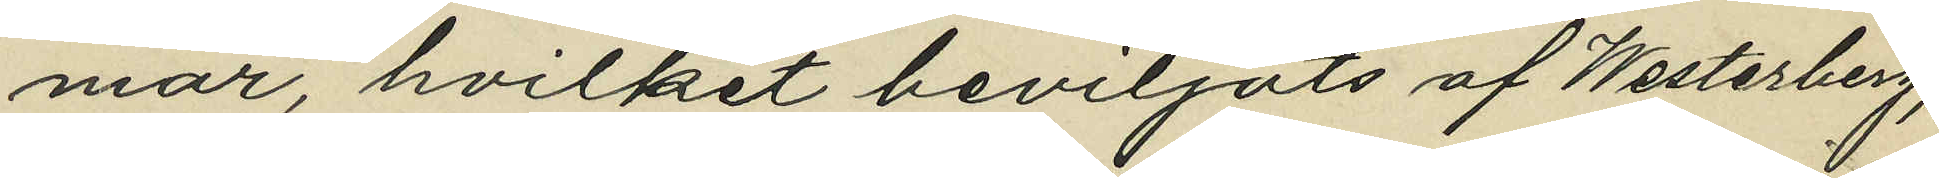mar, hvilket beviljats af Westerberg;
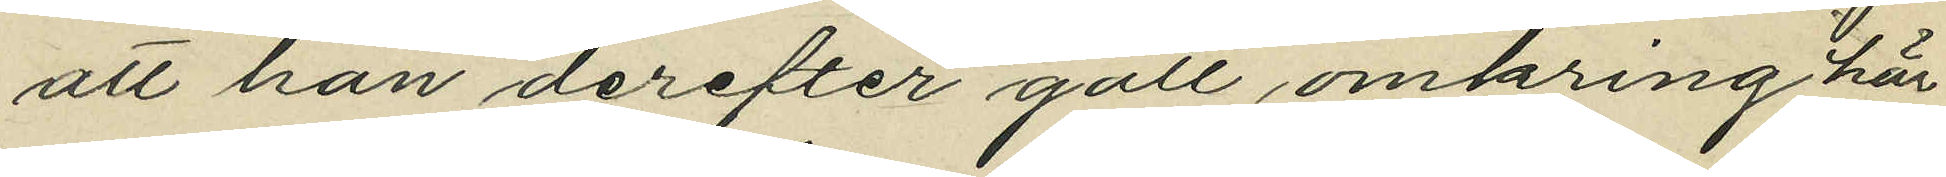att han derefter gått omkring här
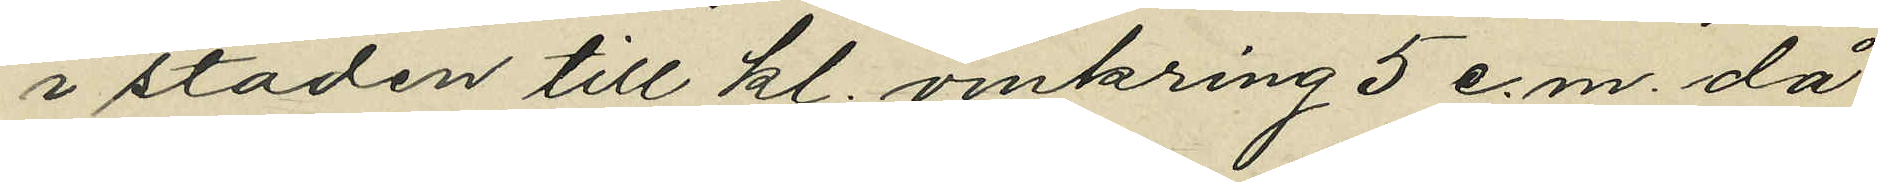i staden till kl. omkring 5 e.m. då
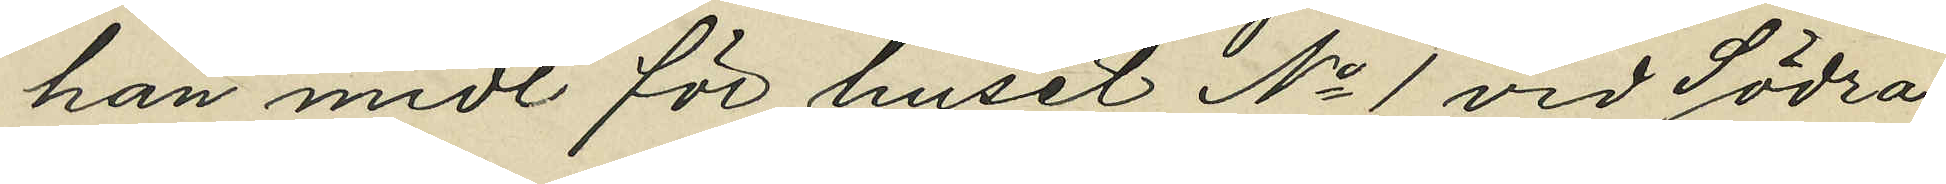han midt för huset No 1 vid Södra
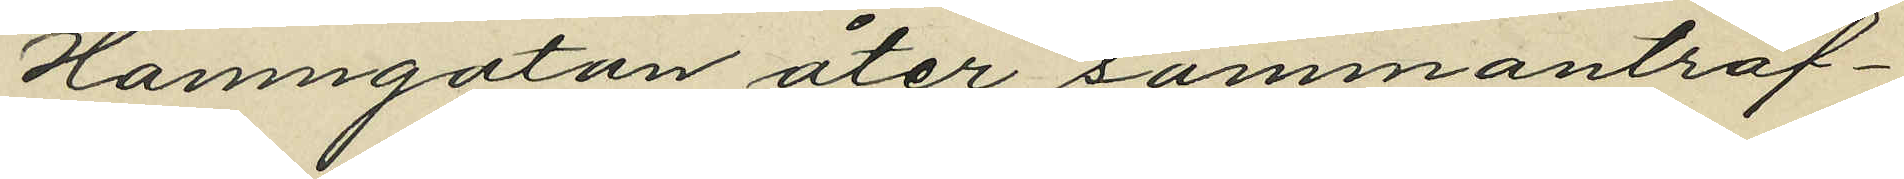Hamngatan åter sammanträf¬
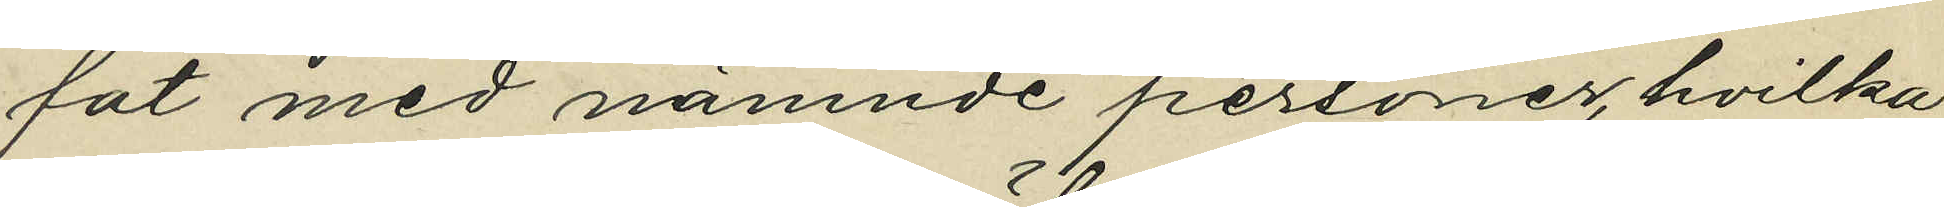fat med nämnde personer, hvilka
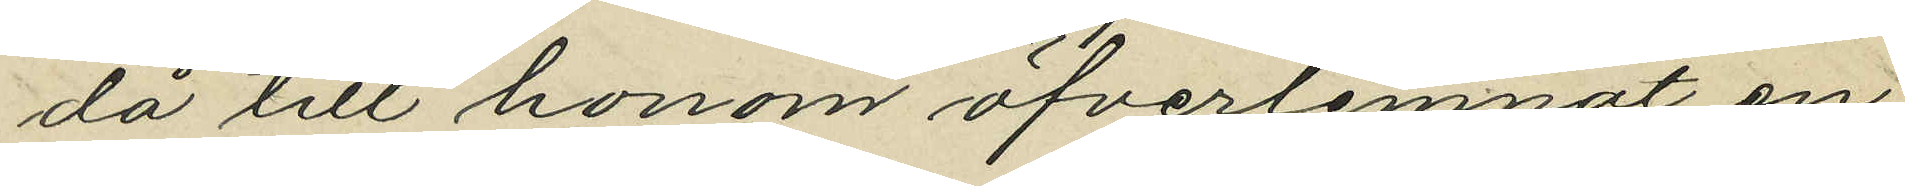då till honom öfverlemnat en
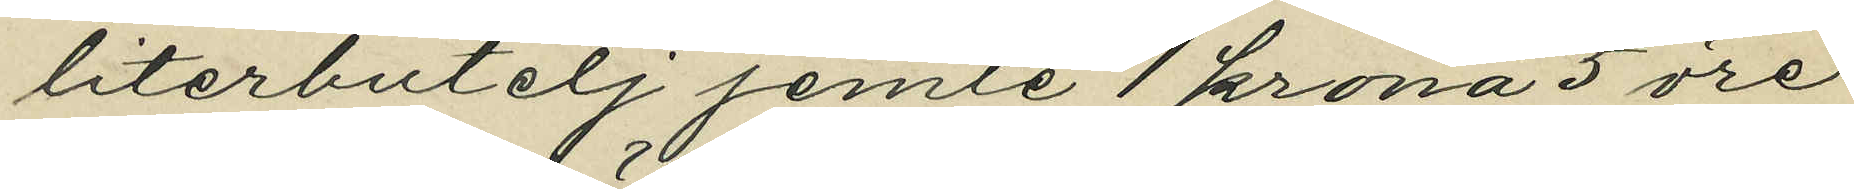literbutelj jemte 1 krona 5 öre
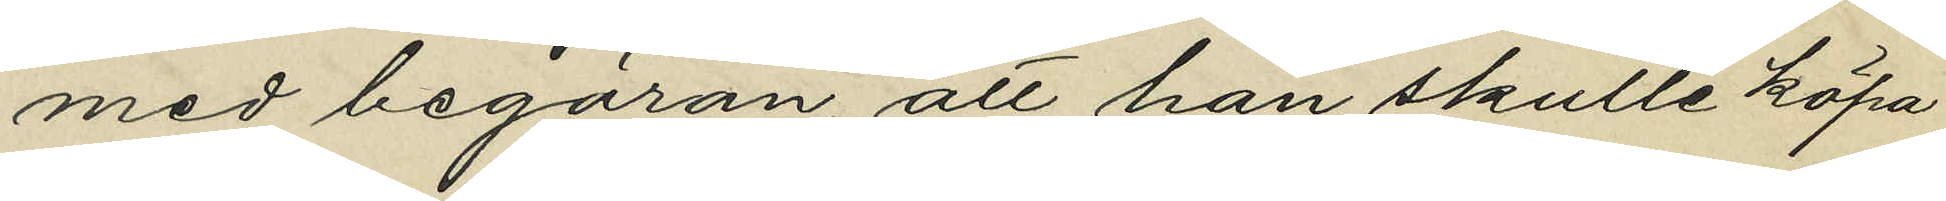med begäran, att han skulle köpa
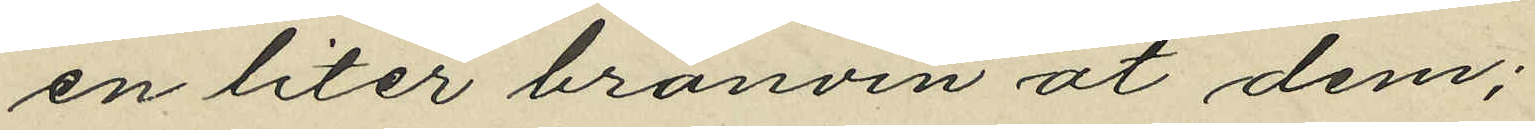en liter bränvin åt dem;
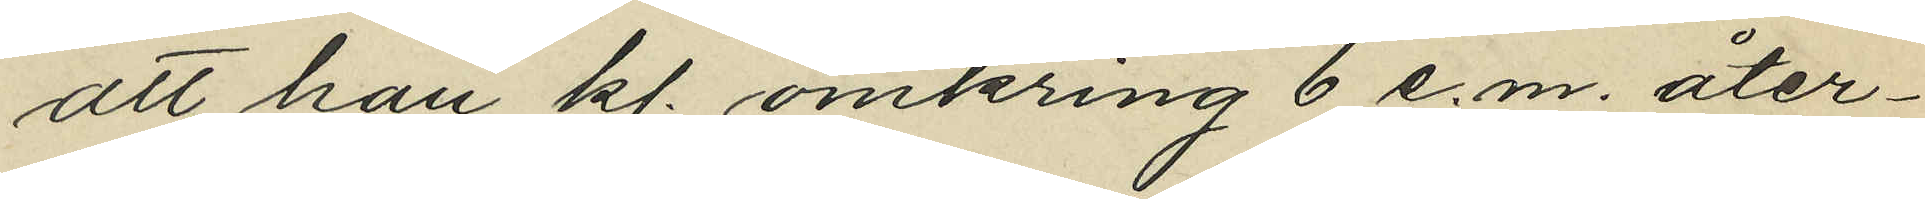att han kl. omkring 6 e.m. åter¬
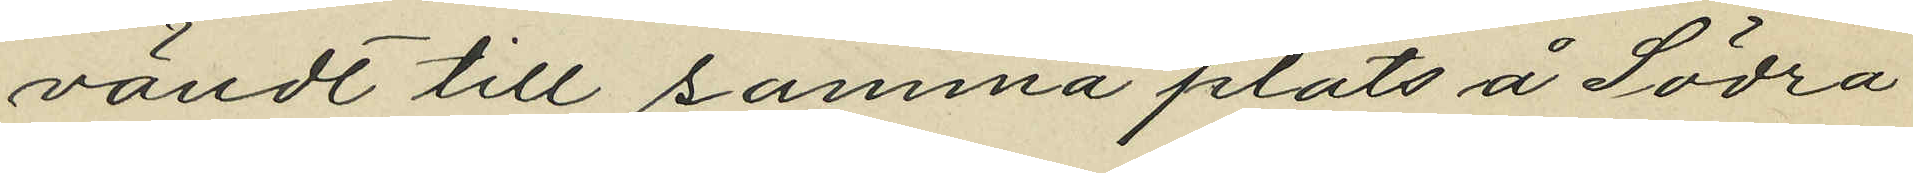vändt till samma plats å Södra
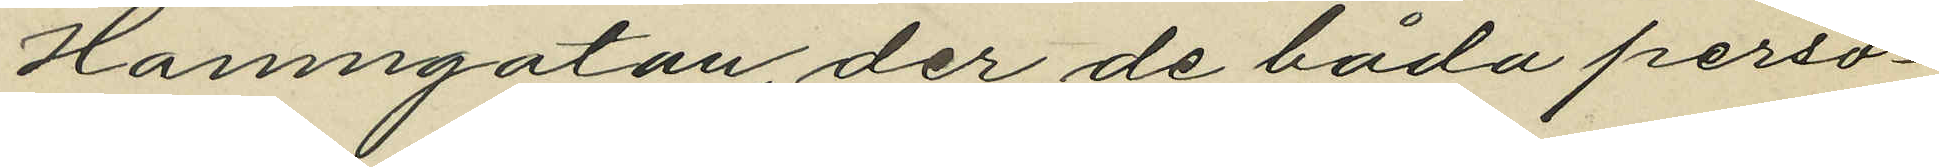Hamngatan, der de båda perso¬
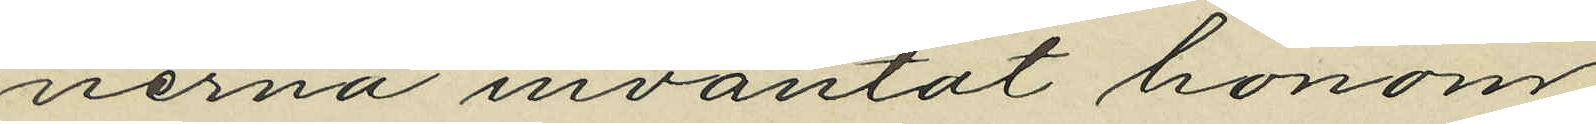nerna inväntat honom;
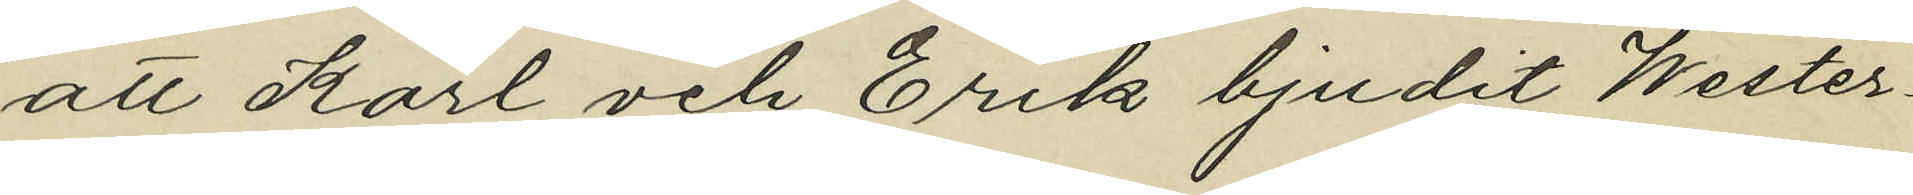att Karl och Erik bjudit Wester¬
